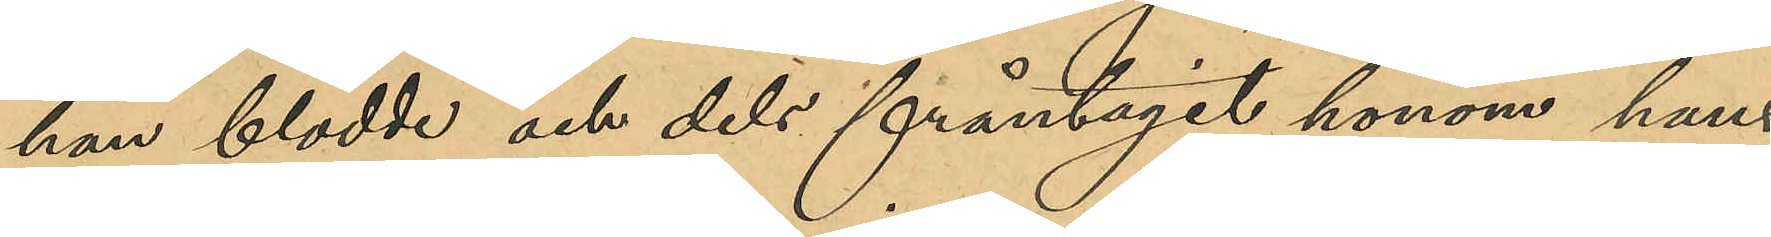han blödde och dels fråntagit honom hans
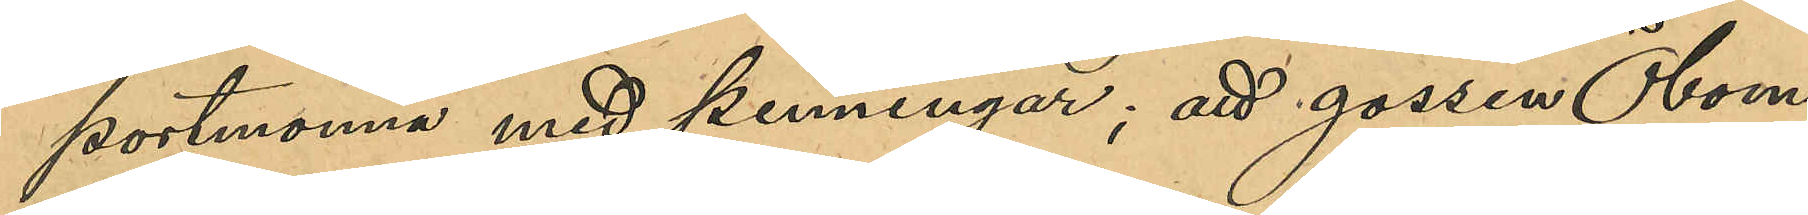portmonnä med penningar; att gossen Öbom
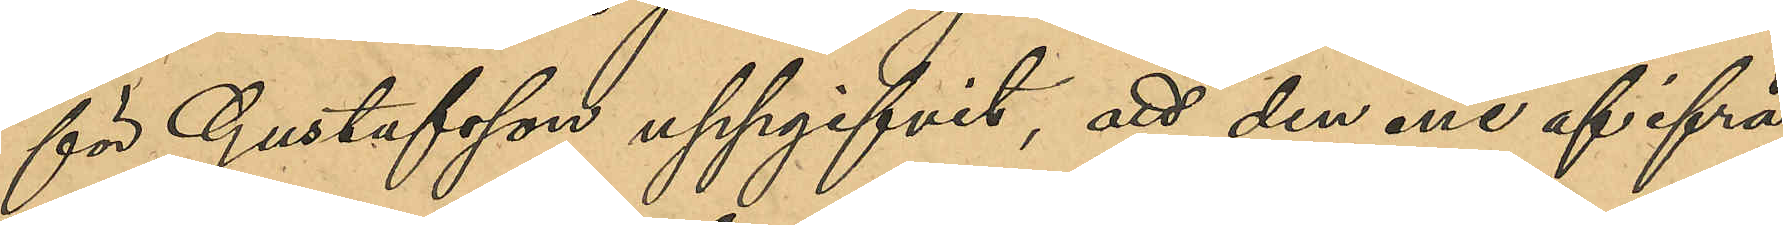för Gustafsson uppgifvit, att den ene af ifrå¬
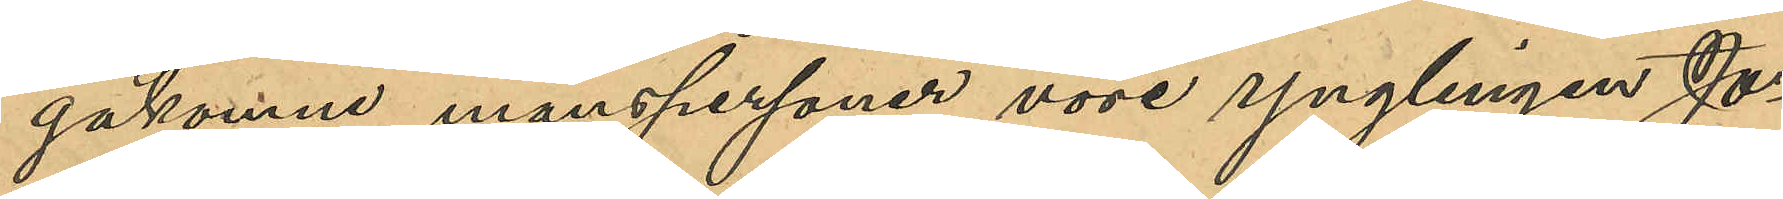gakomne manspersoner vore ynglingen Jo¬
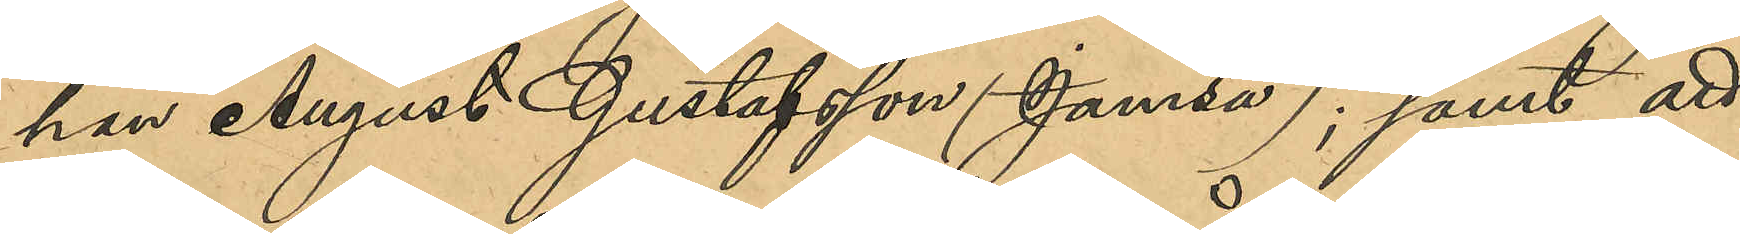han August Gustafsson (Jamsa); samt att
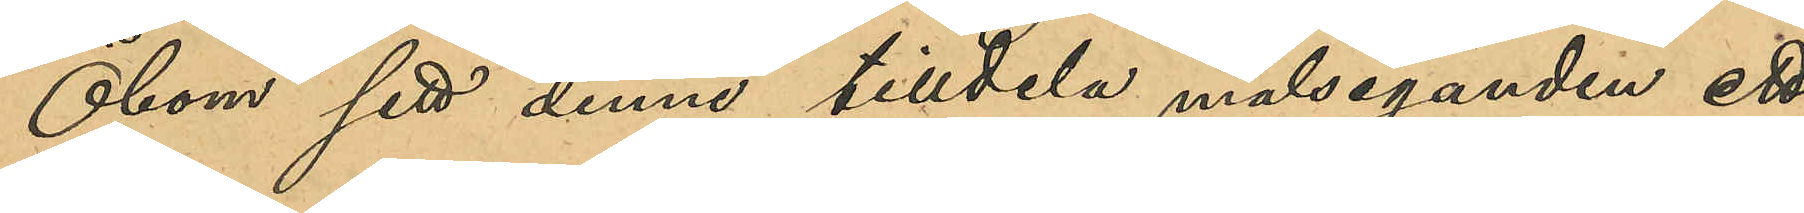Öbom sett denne tilldela målseganden ett
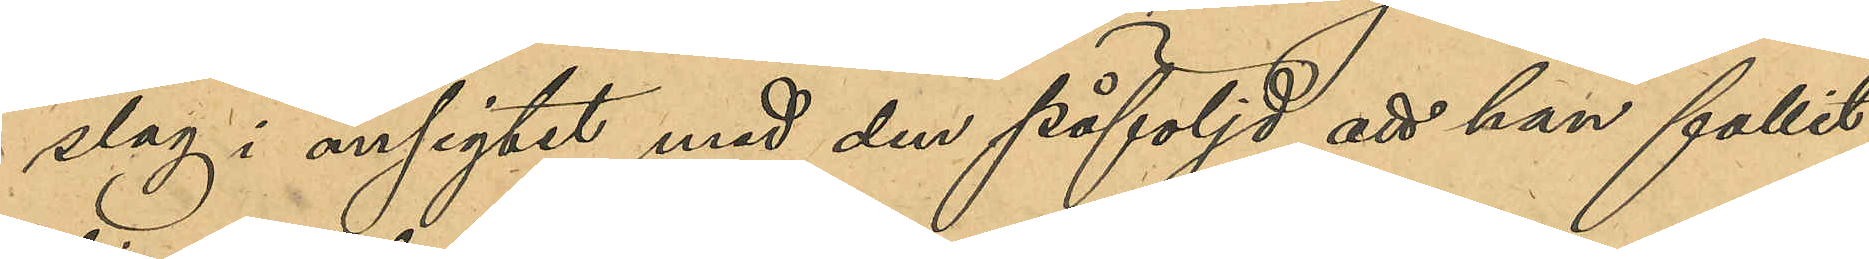slag i ansigtet med den påföljd att han fallit
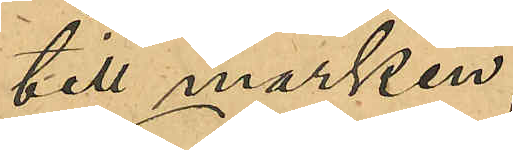till marken
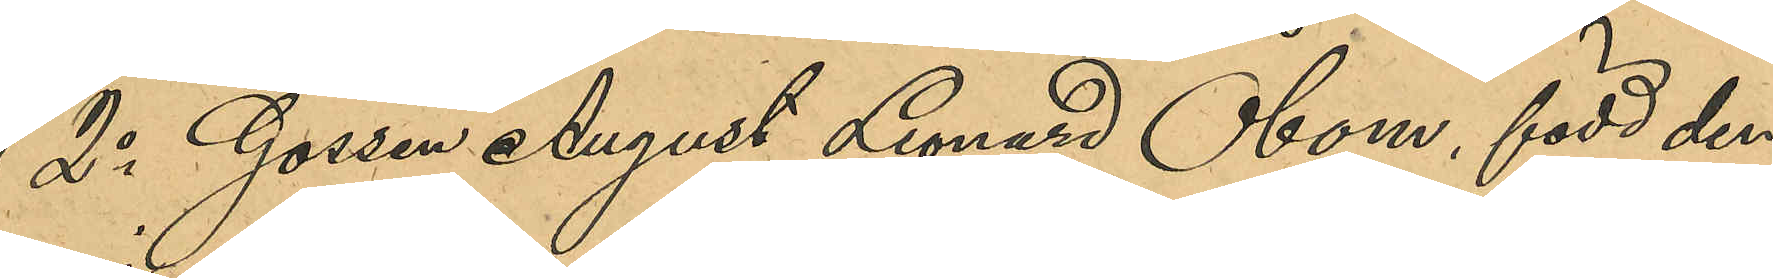2o Gossen August Leonard Öbom, född den
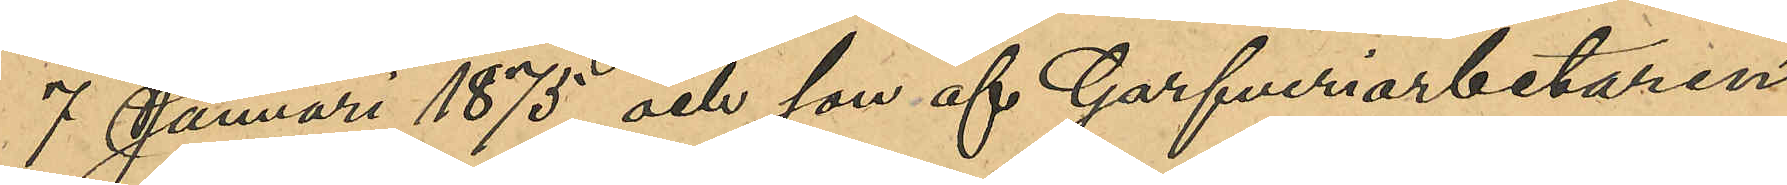7 Januari 1875 och son af Garfveriarbetaren
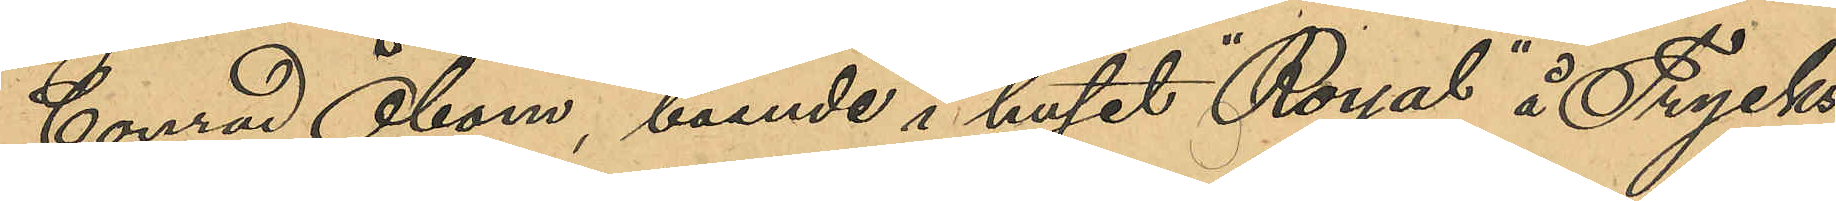Conrad Öbom, boende i huset "Royal" å Trycks¬
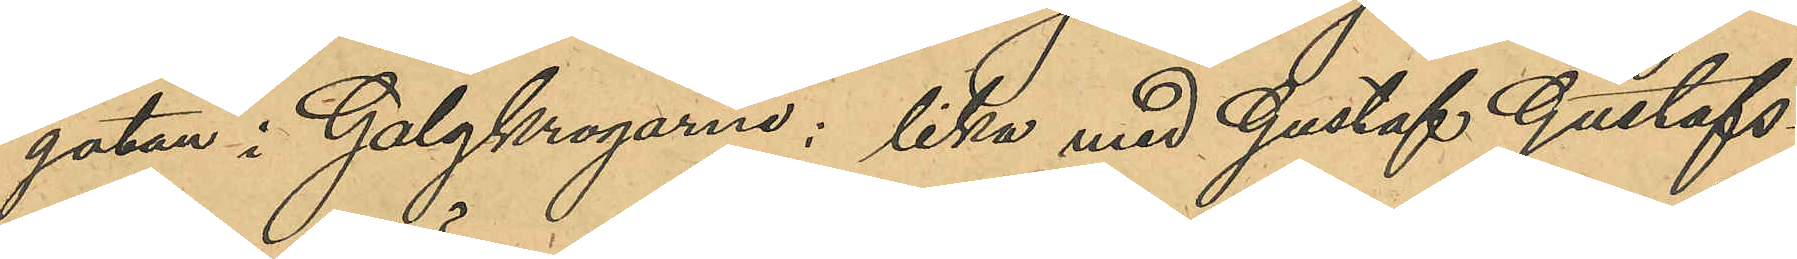gatan i Galgkrogarne; lika med Gustaf Gustafs¬
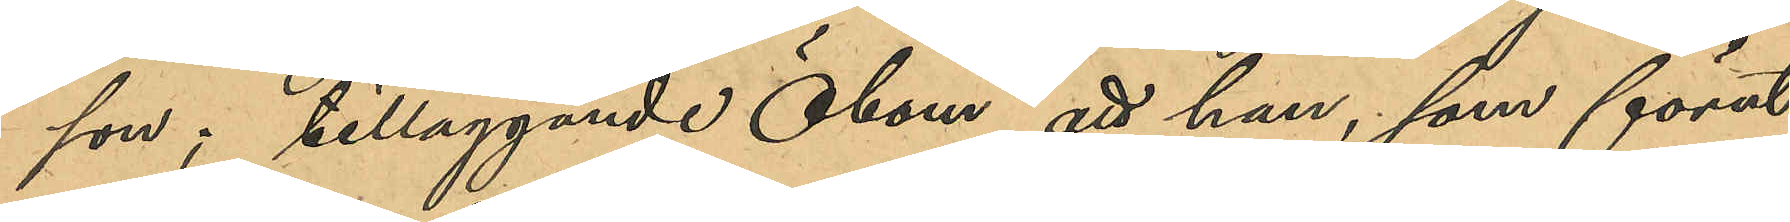son; tilläggande Öbom, att han, som förut
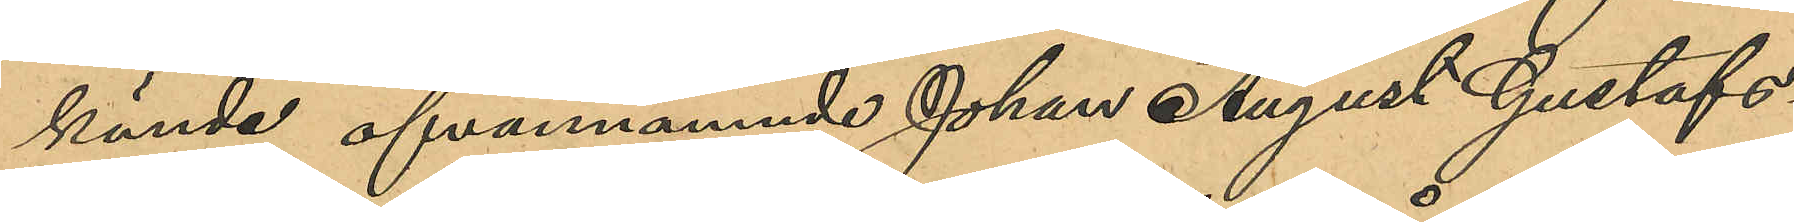kände ofvannämnde Johan August Gustafs¬
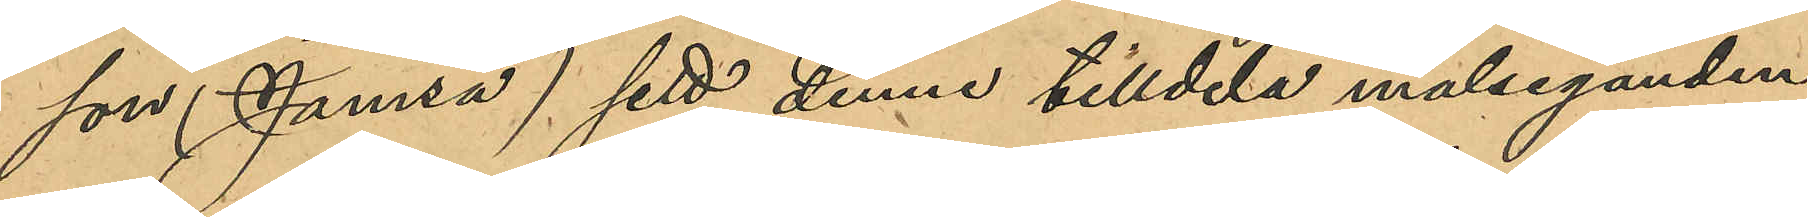son (Jamsa) sett denne tilldela målseganden
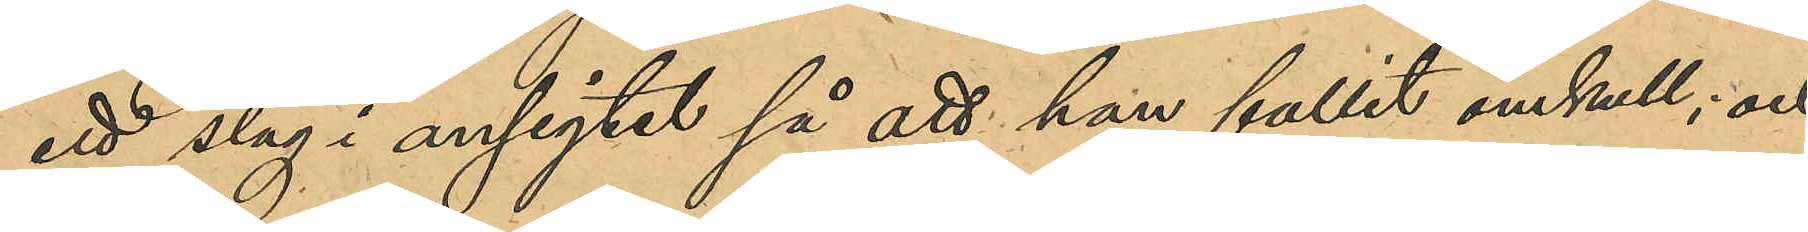ett slag i ansigtet så att han fallit omkull; och
